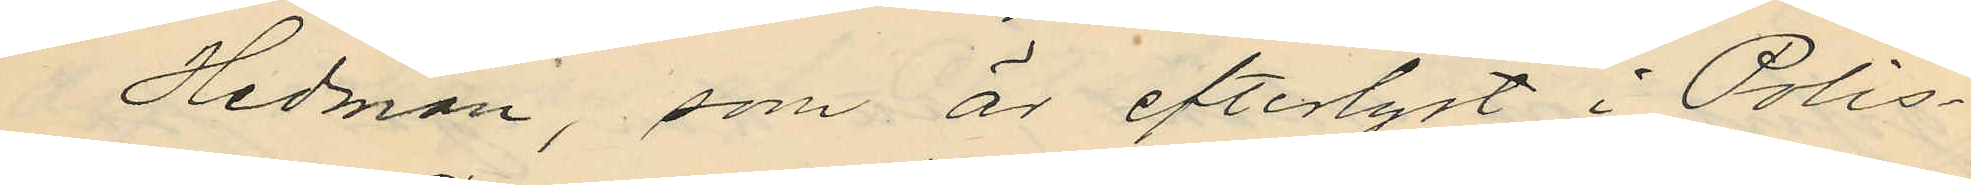Hedman, som är efterlyst i Polis¬
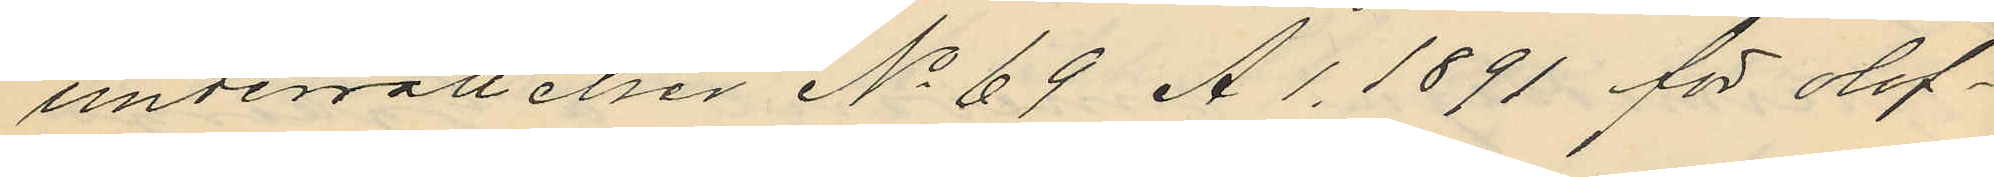underrättelser No 69 A.1. 1891 för olof¬
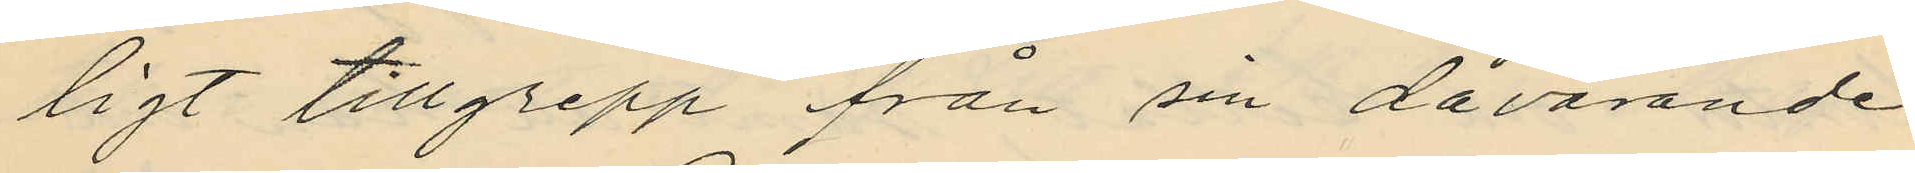ligt tillgrepp från sin dåvarande
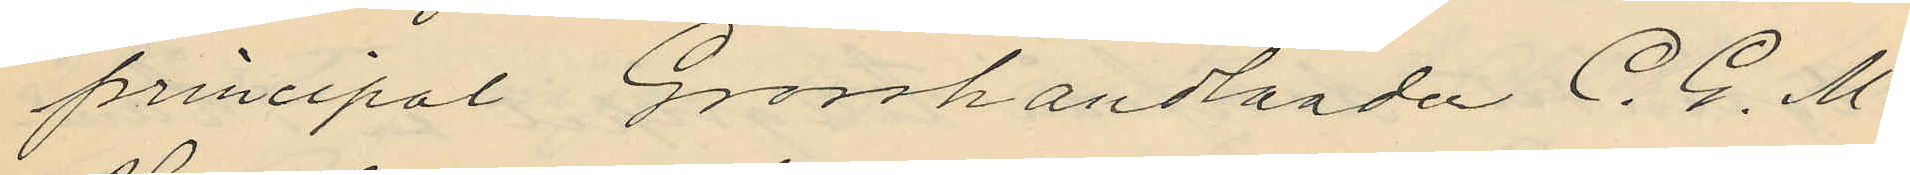principal Grosshandlanden C. G. M.
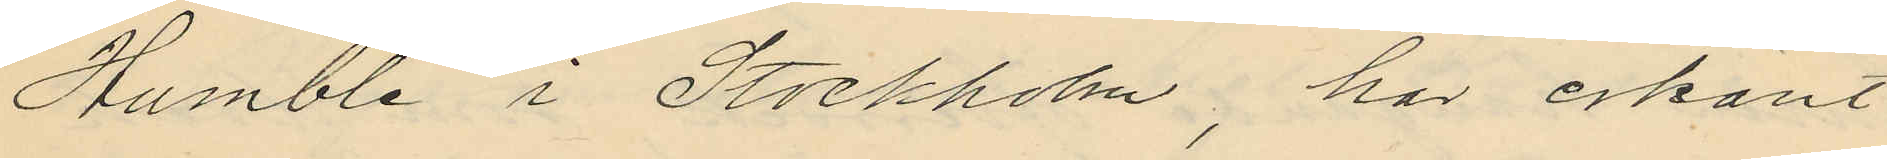Humble i Stockholm, har erkänt
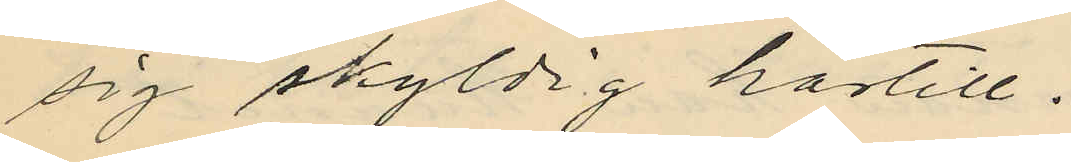sig skyldig härtill.
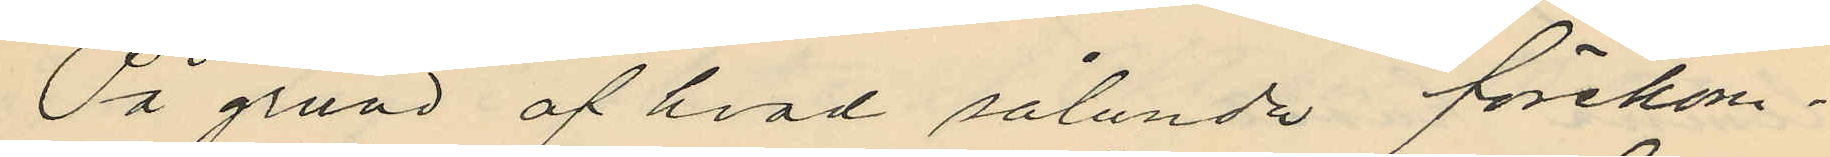På grund af hvad sålunda förekom¬
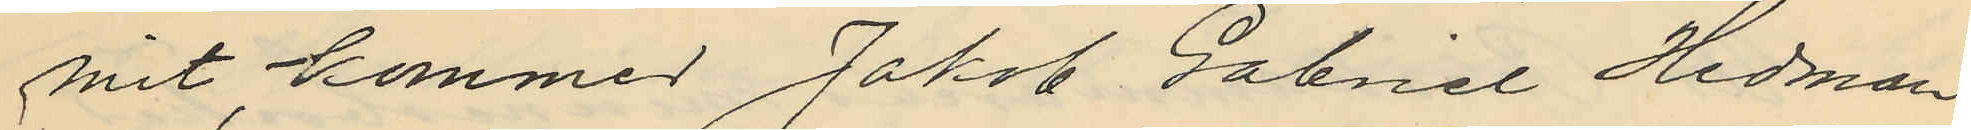mit, kommer Jakob Gabriel Hedman
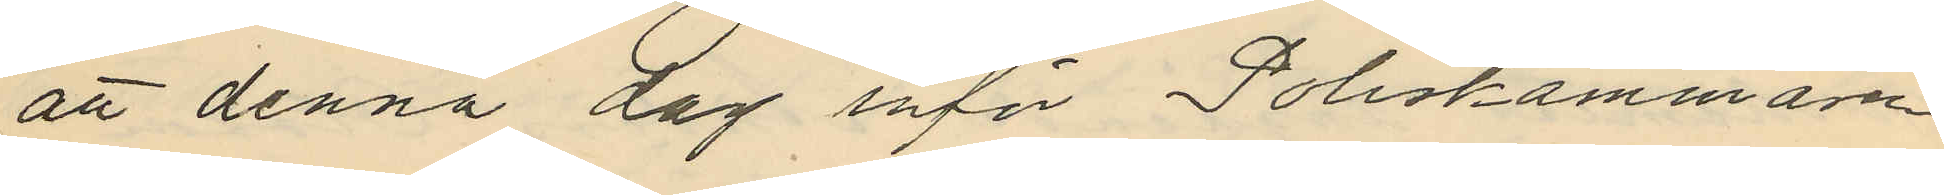att denna dag inför Poliskammaren
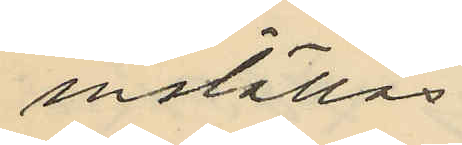inställas.
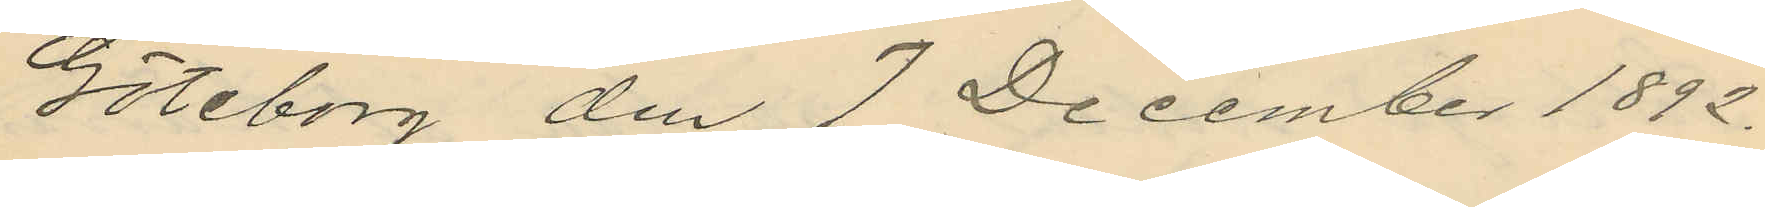Göteborg den 7 December 1892.
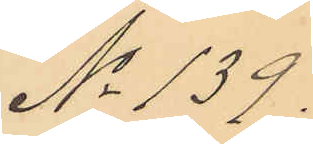No 139.
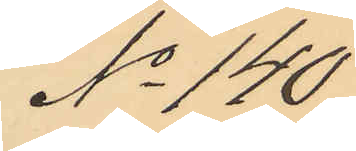No 140
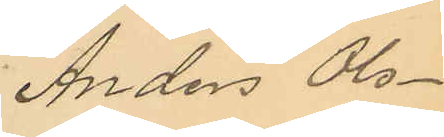Anders Ols¬
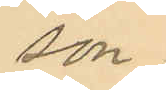son.
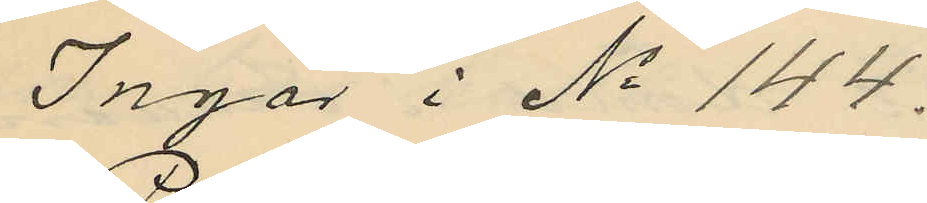Ingår i No 144.
